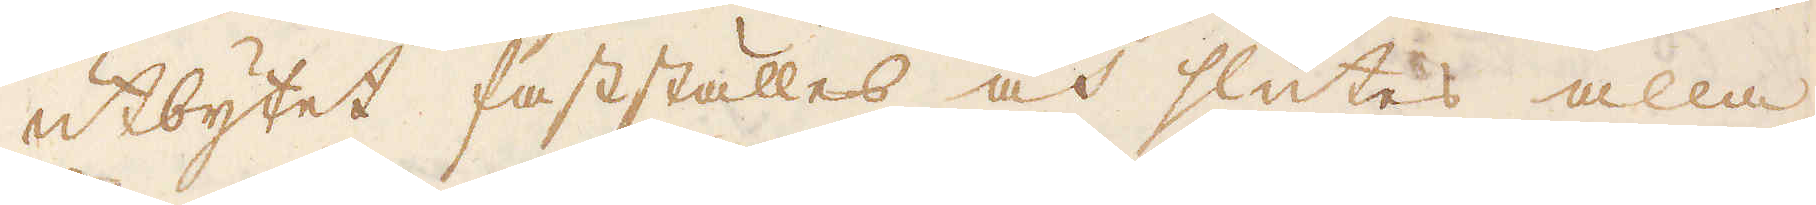utbytet fastställes och slutes alla
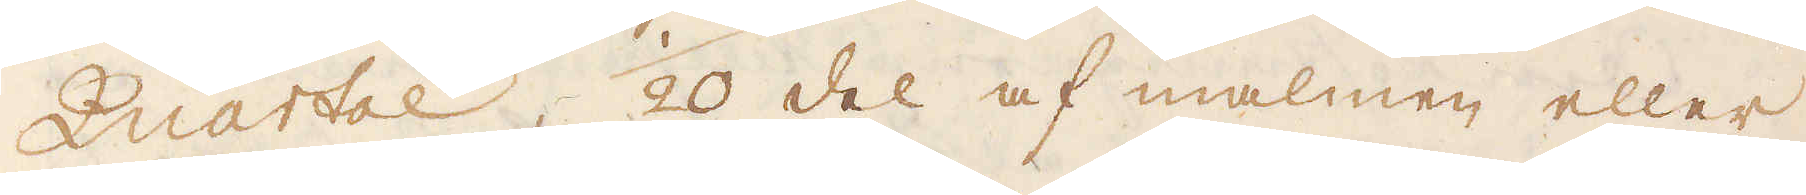Quartal, 1/20 del af malmen eller
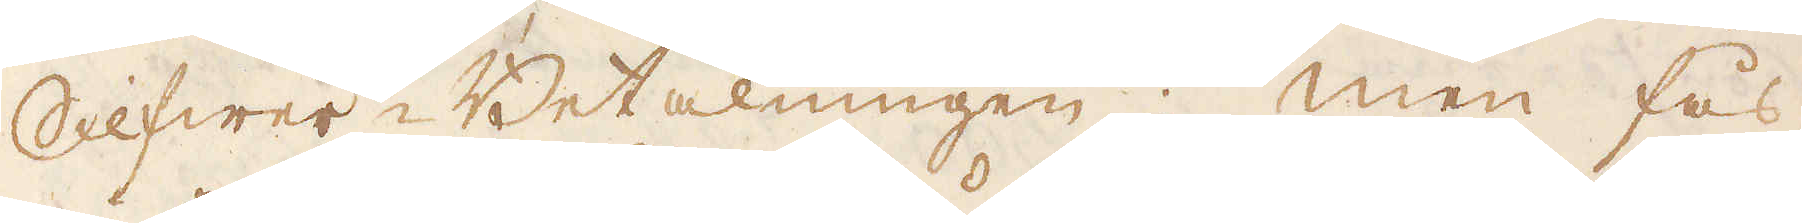SilfwerBetalningen; Men fås
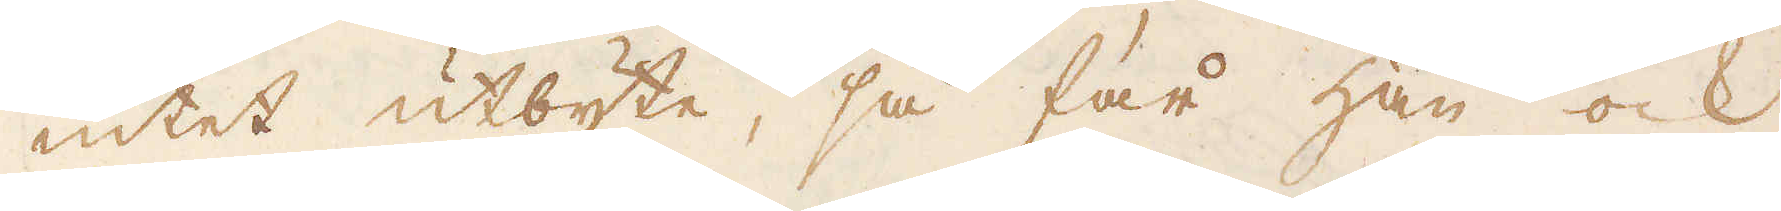intet utbyte, så får han ock
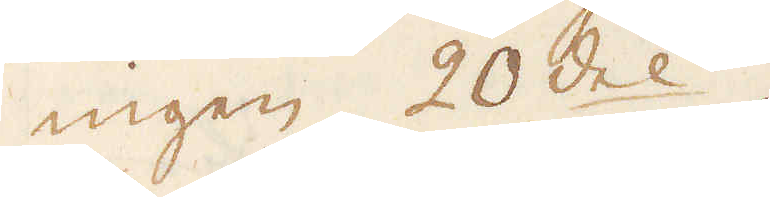ingen 20 del.
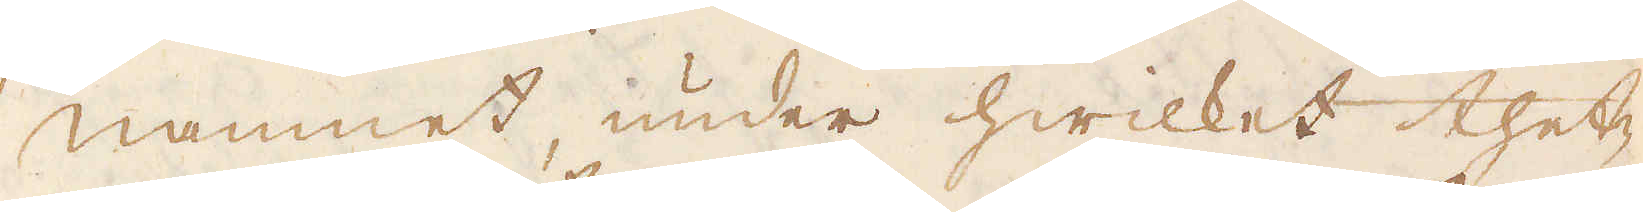Namnet, under hwilket thet-
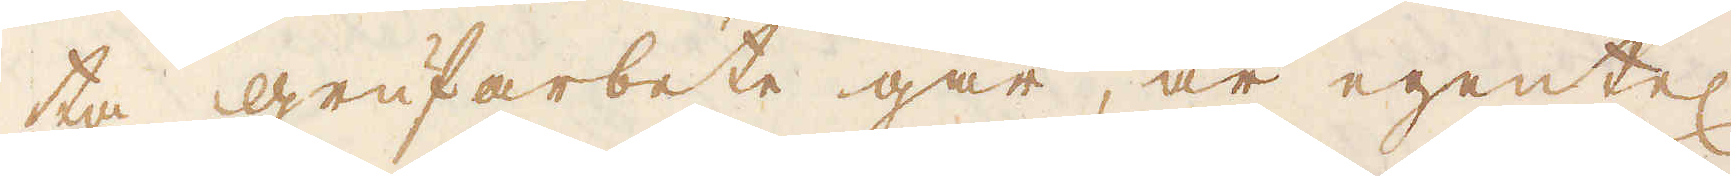ta grufarbete går, är egentel
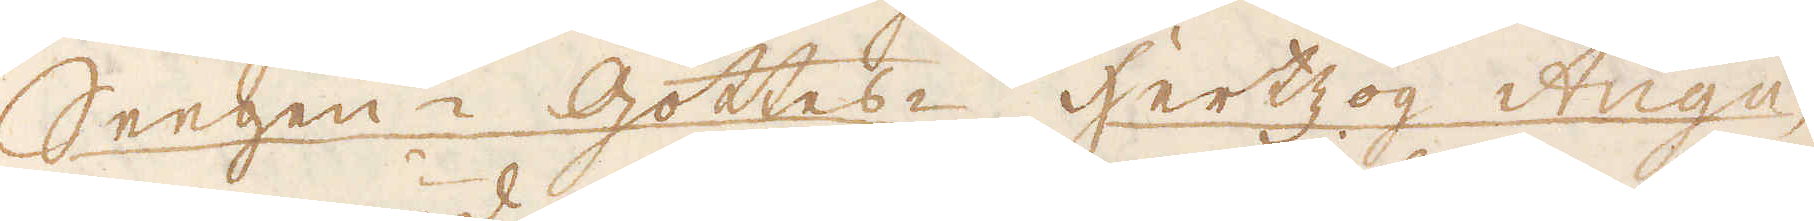Seegen- Gottes- Hertzog Augu-
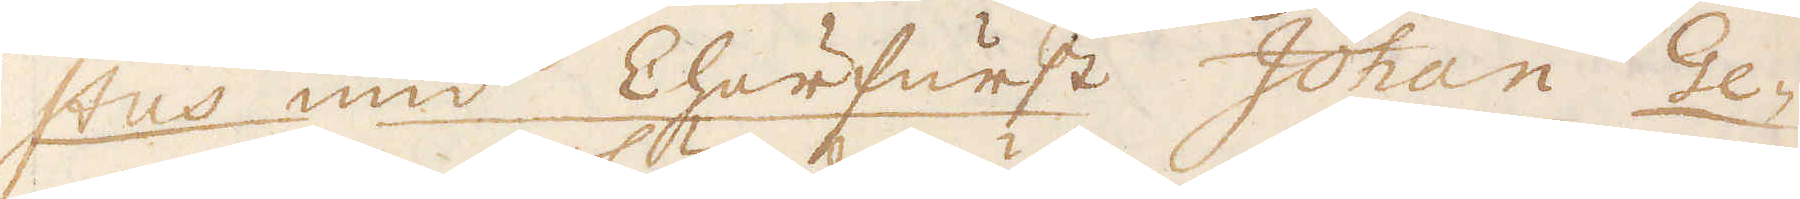stus und Churfurst Johan Ge-
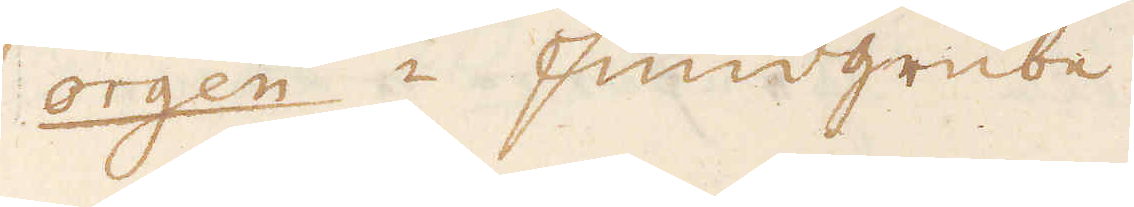orgen - fundgrube.
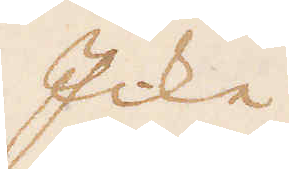Icke
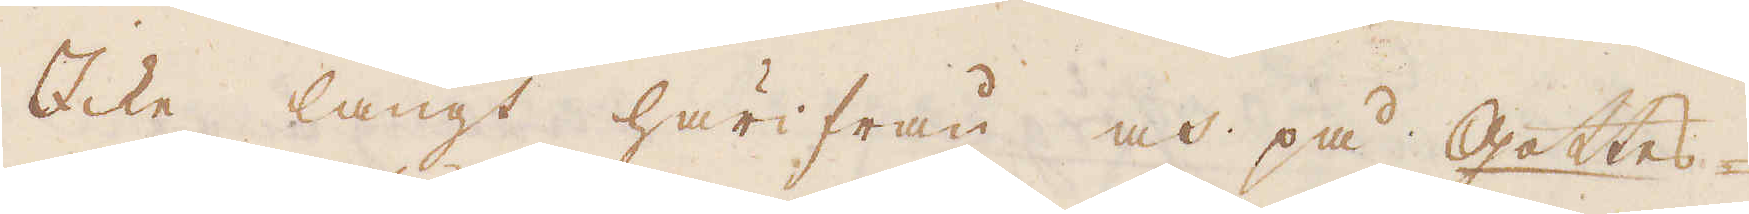Icke långt härifrån och på Gottes-
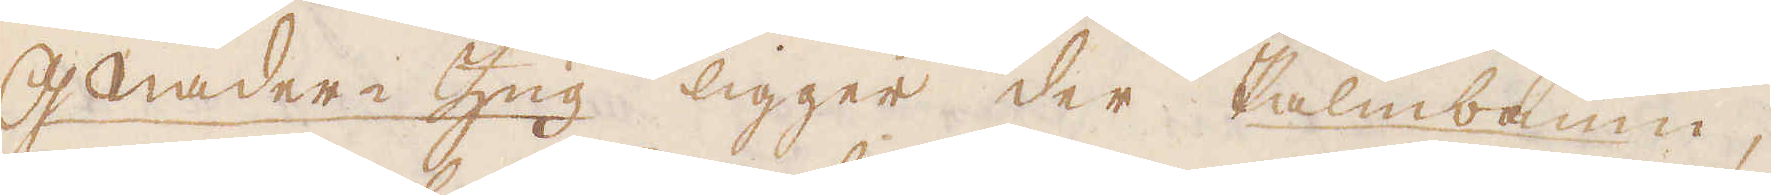G Mader-Zug ligger der Palmbaum,
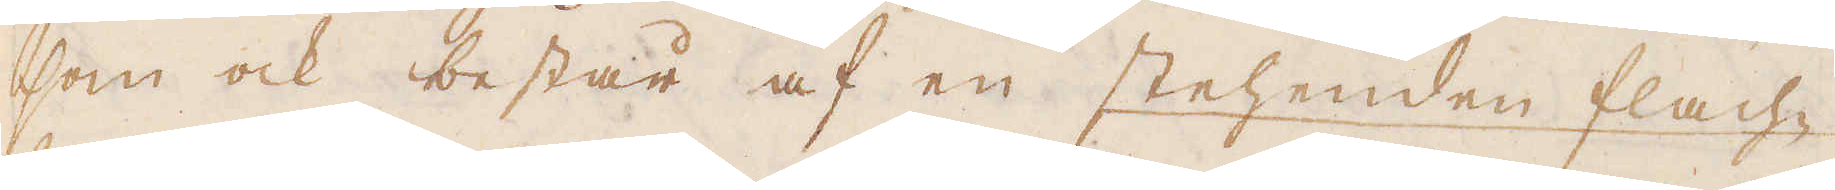som ock består af en stehenden flach-
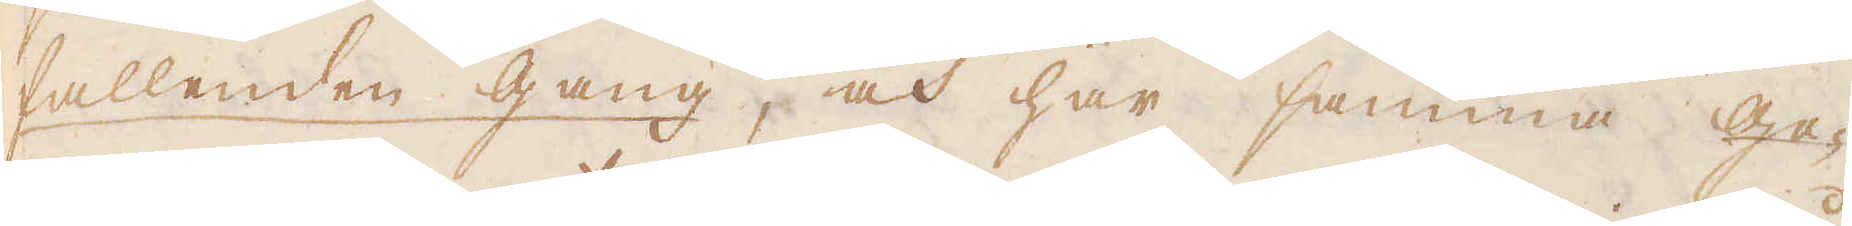fallenden gang, och har samma ge-
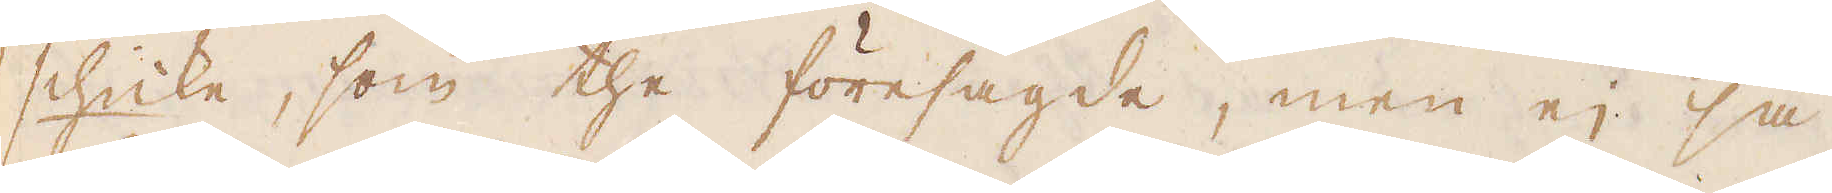schicke, som the föresagde, men ej så
